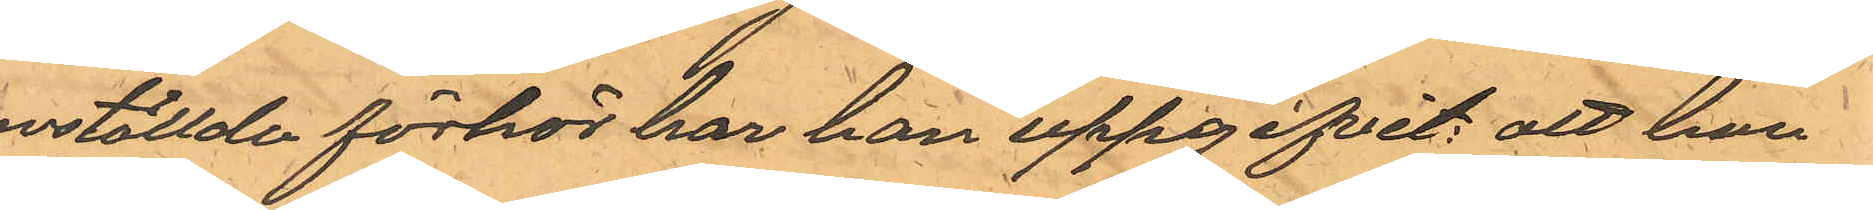anställde förhör har han uppgifvit: att han
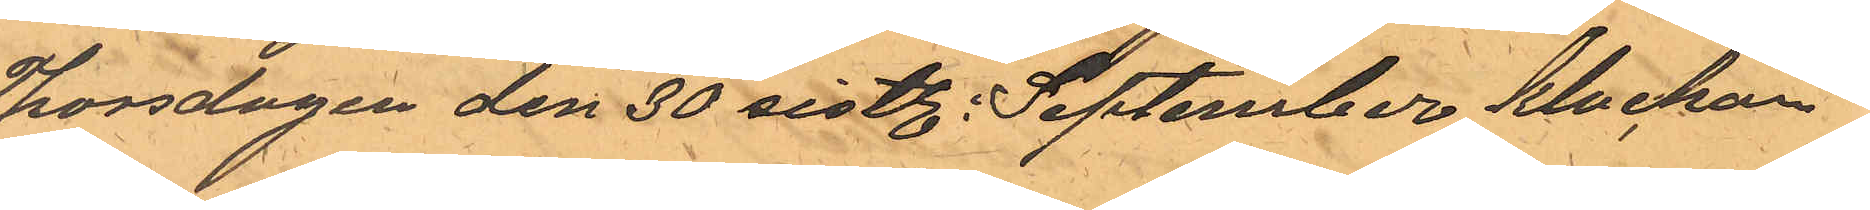Thorsdagen den 30 sistl. September klockan
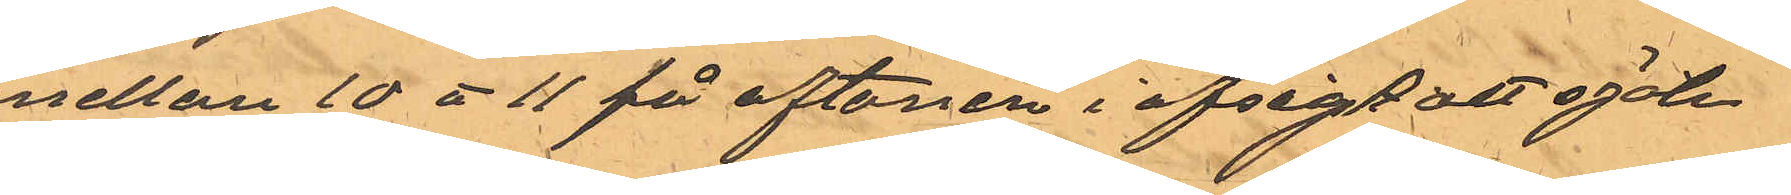emellan 10 à 11 på aftonen i afsigt att själa
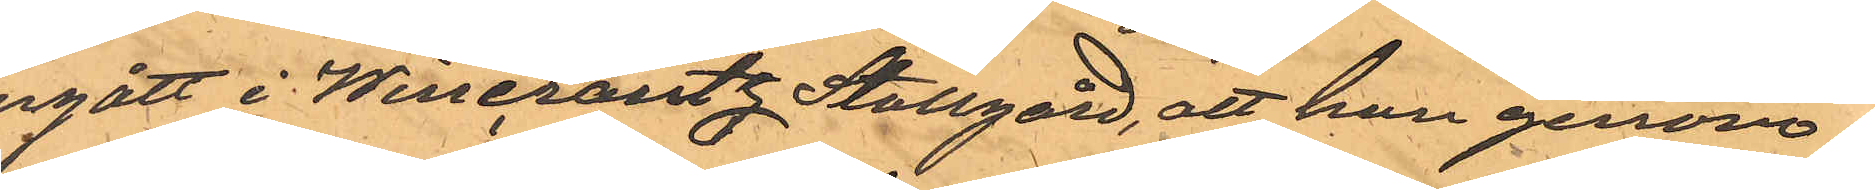ingått i Wincrantz Stallgård, att han genom
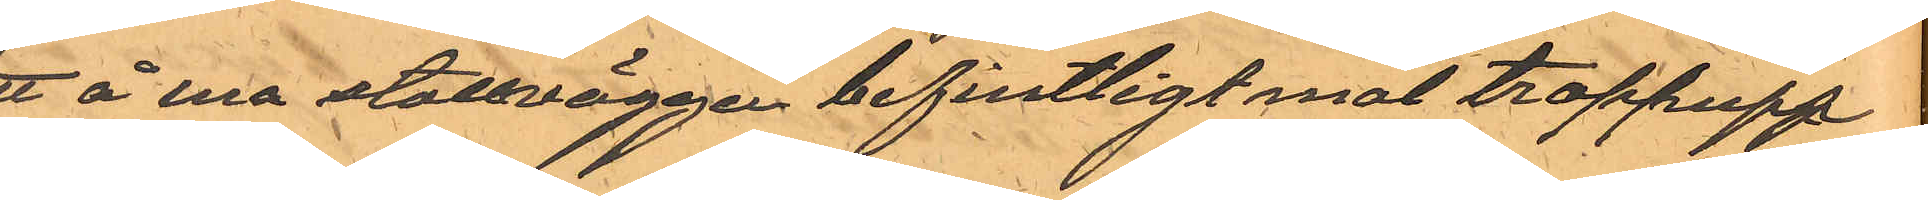ett å ena stallväggen befintligt mot trappupp¬
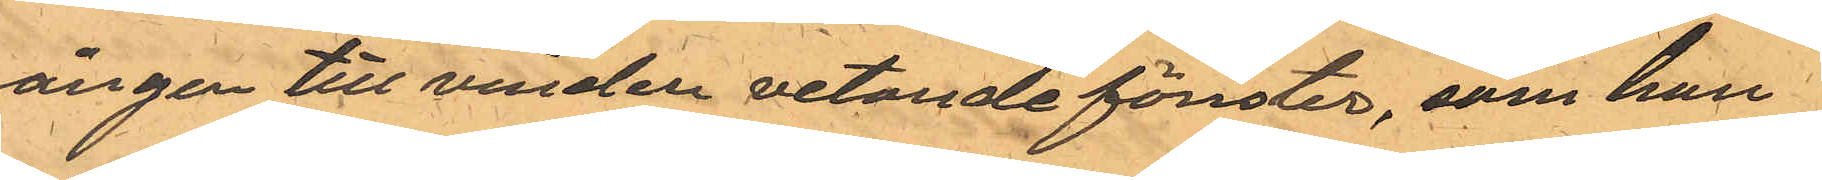gången till vinden vetande fönster, som han
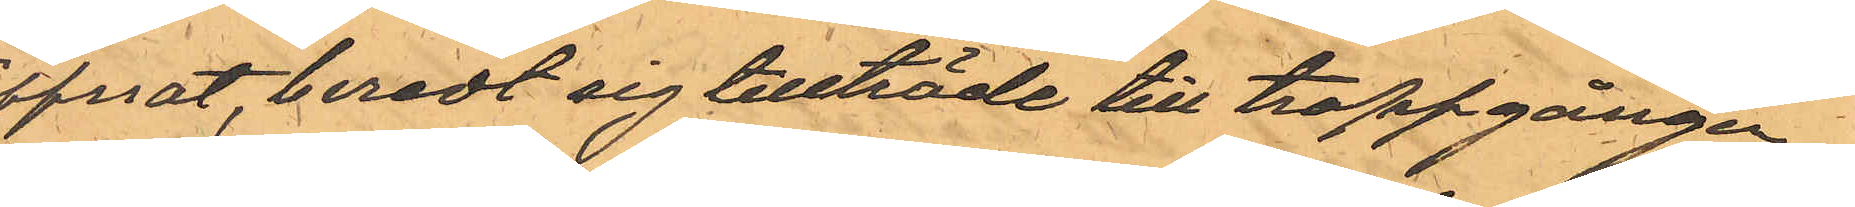öppnat, beredt sig tillträde till trappgången
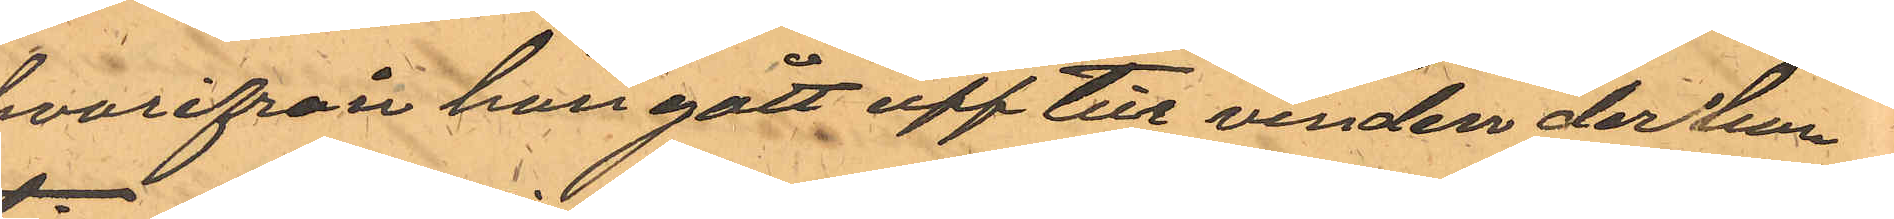hvarifrån han gått upp till vinden der han
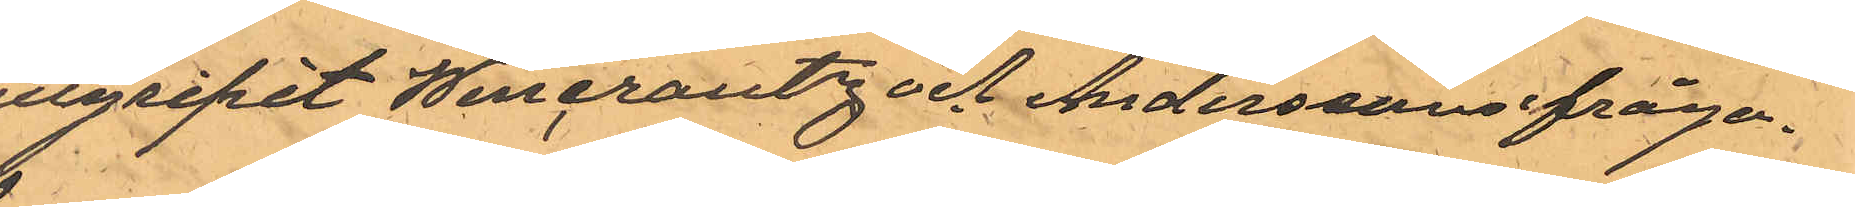tillgripit Wincrantz och Anderssons ifråga¬
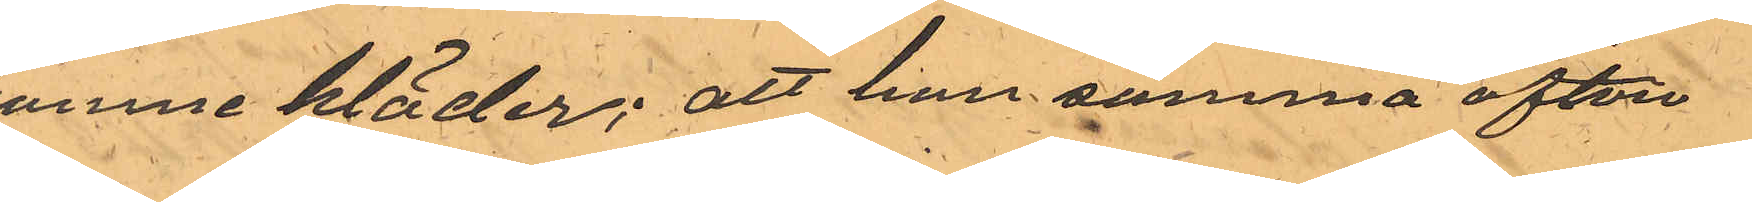komne kläder; att han samma afton
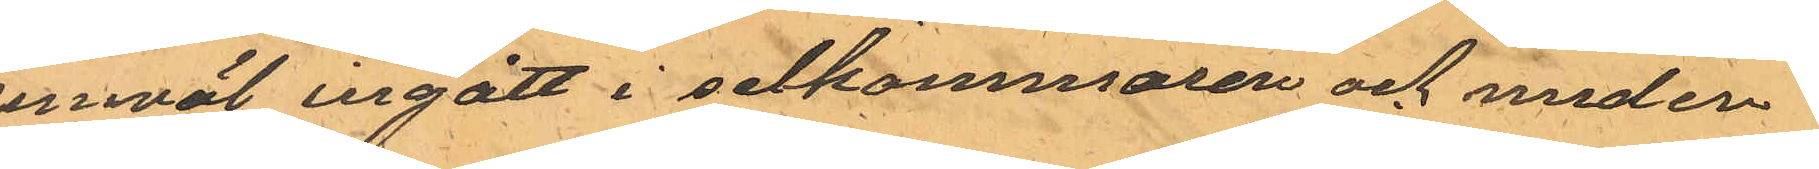jemväl ingått i selkammaren och med en
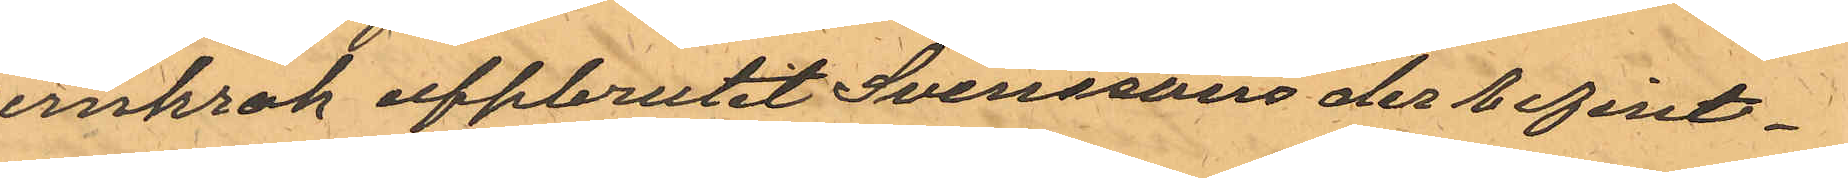jernkrok uppbrutit Svenssons der befint¬
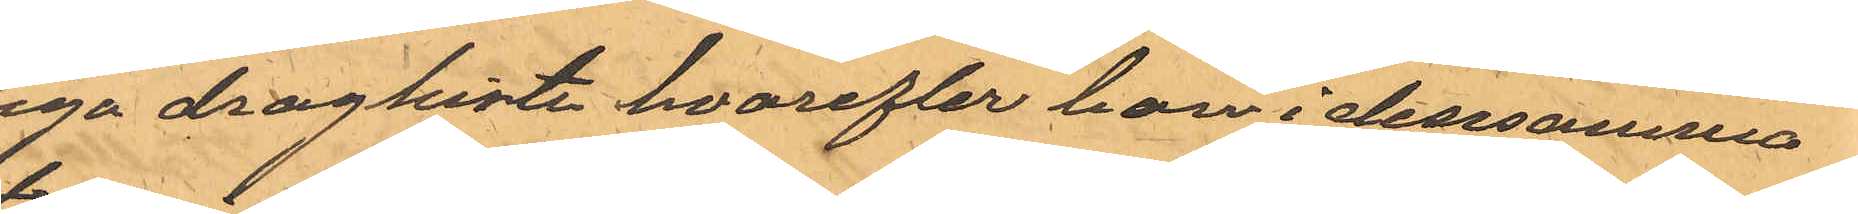liga dragkista hvarefter han i densamma
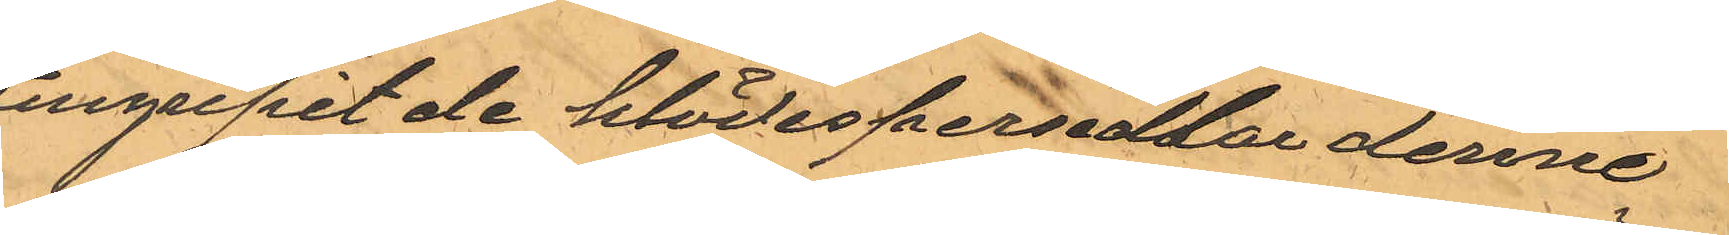tillgripit de klädespersedlar denne
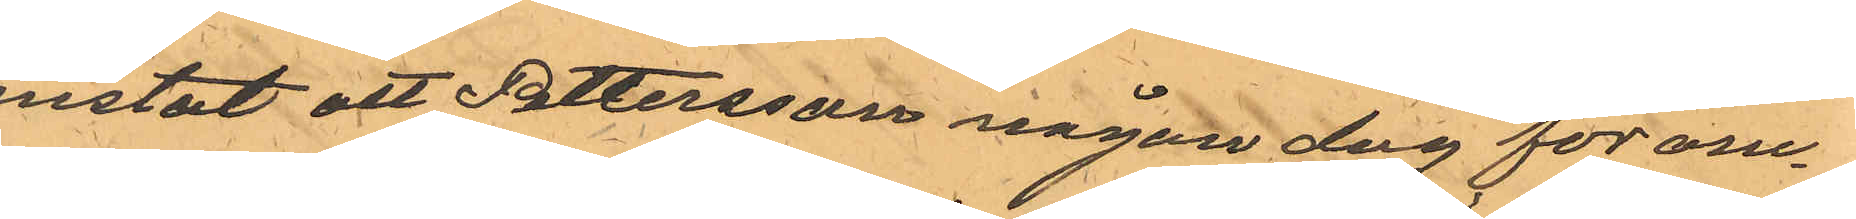mistat att Pettersson någon dag för om¬
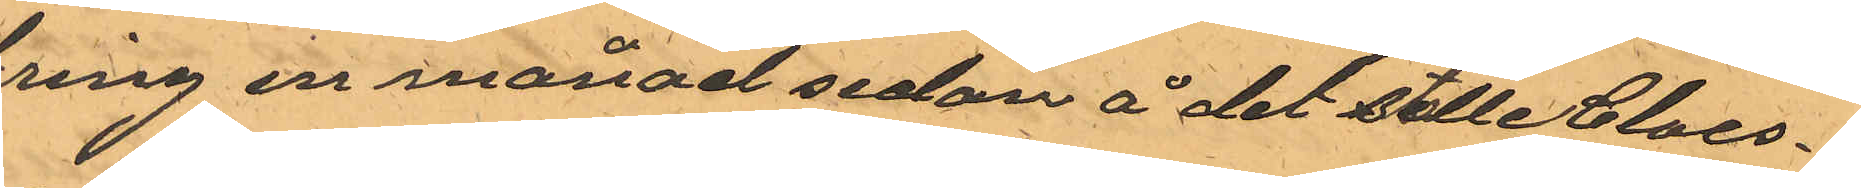kring en månad sedan å det ställe Claes¬
